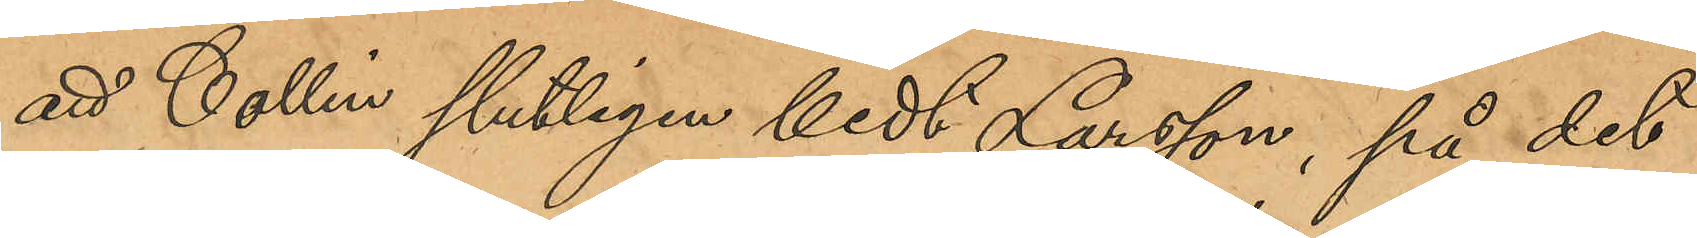att Collin slutligen bedt Larsson, på det
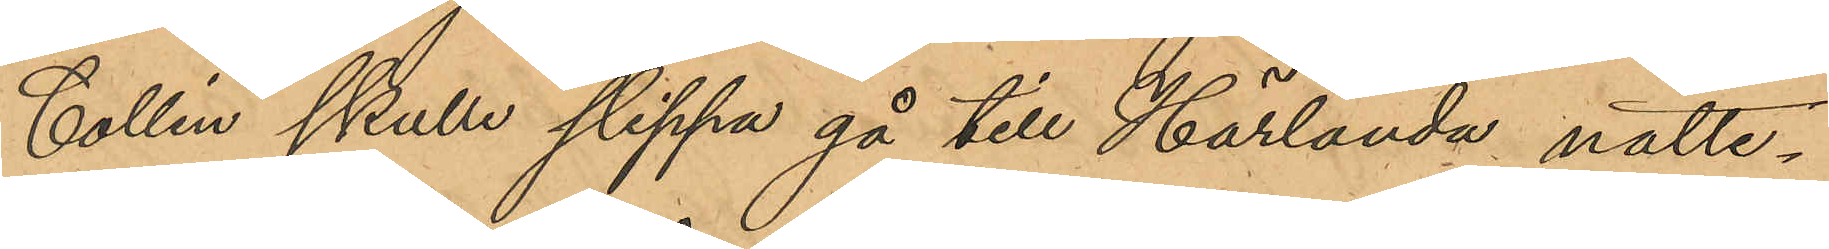Collin skulle slippa gå till Härlanda natte¬
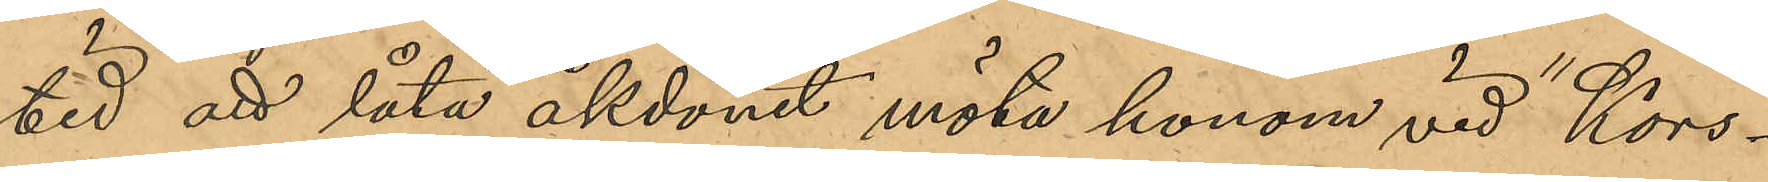tid att låta åkdonet möta honom vid "Kors¬
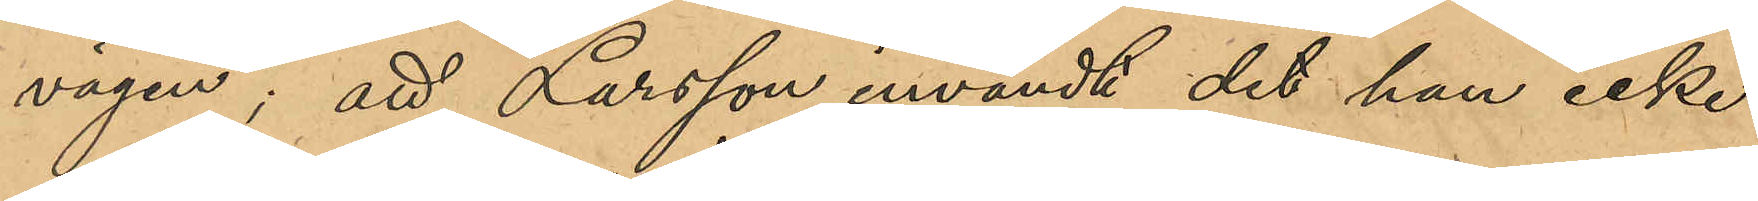vägen"; att Larsson invändt det han icke
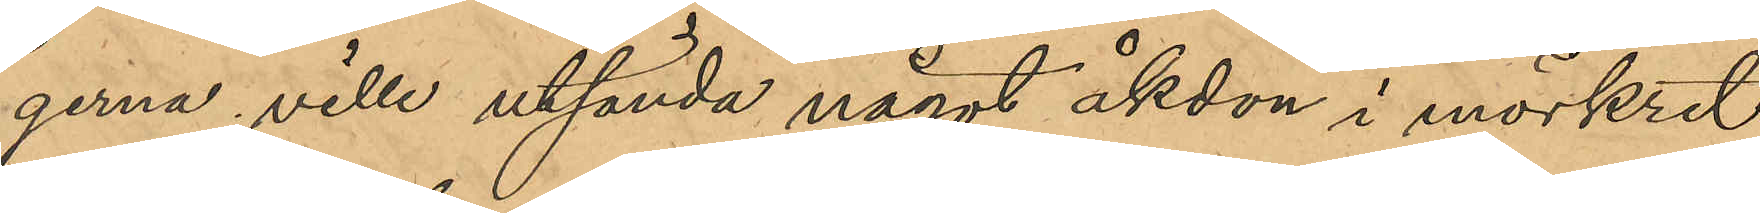gerna ville utsända något åkdon i mörkret,
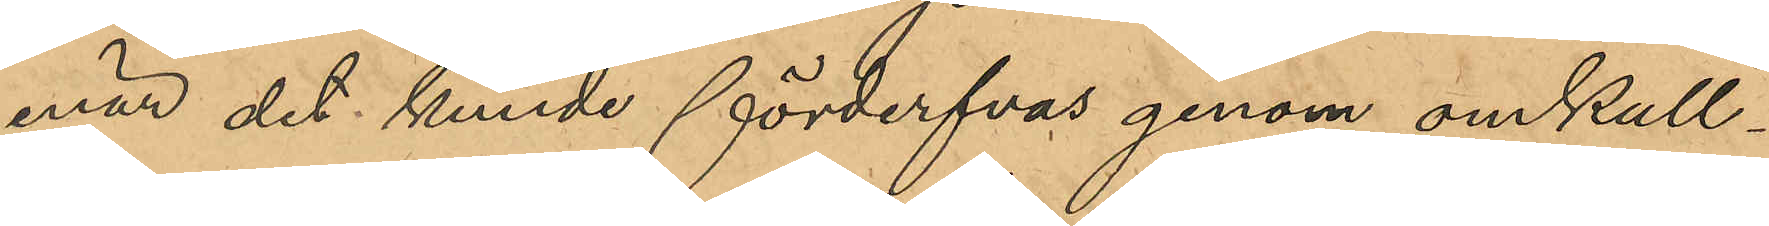enär det kunde förderfvas genom omkull¬
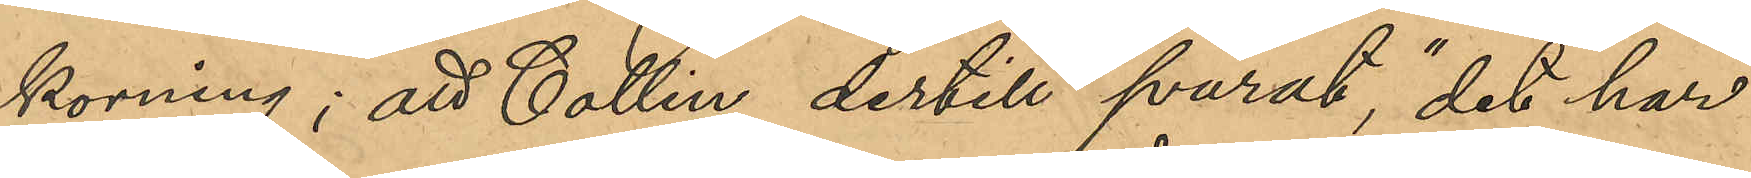korning; att Collin dertill svarat, "det har
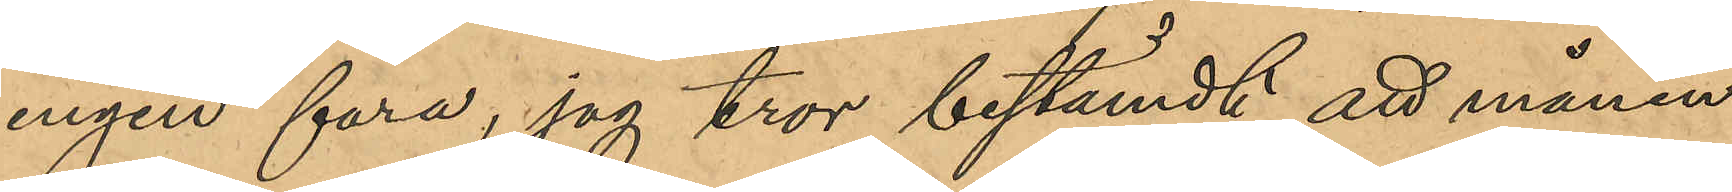ingen fara, jag tror bestämdt att månen
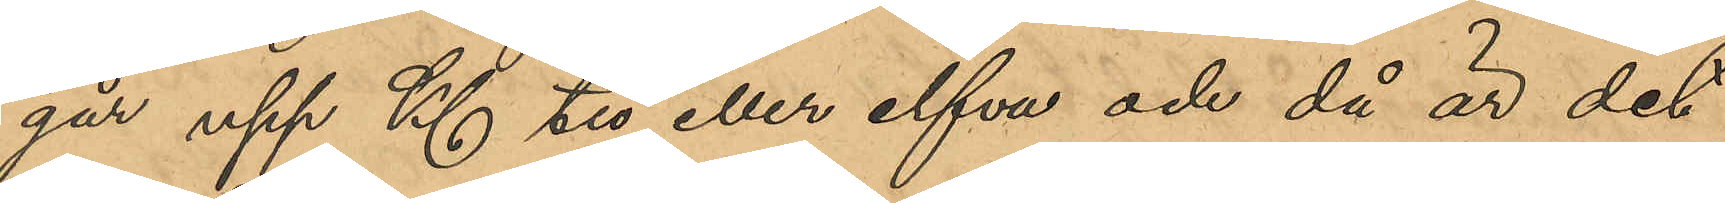går upp Kl tio eller elfva och då är det
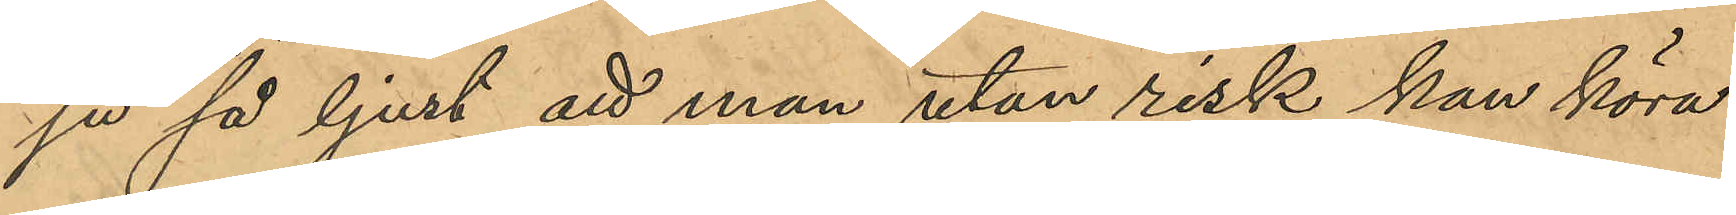ju så ljust att man utan risk kan köra
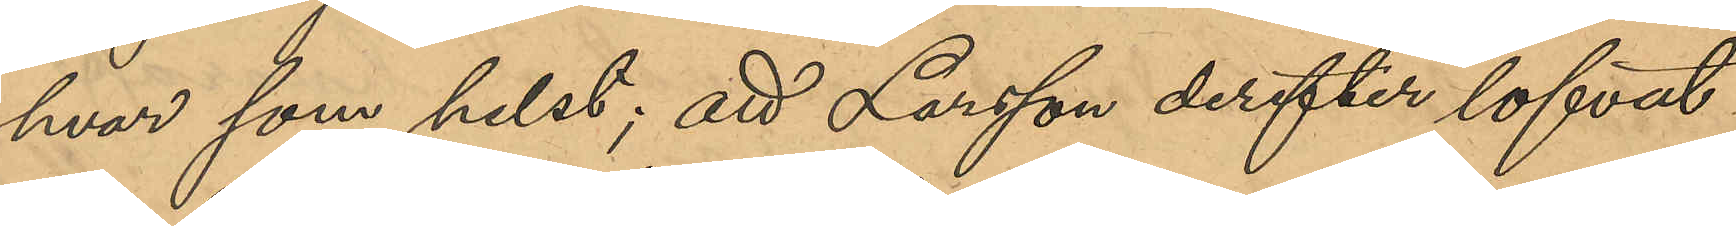hvar som helst; att Larsson derefter lofvat
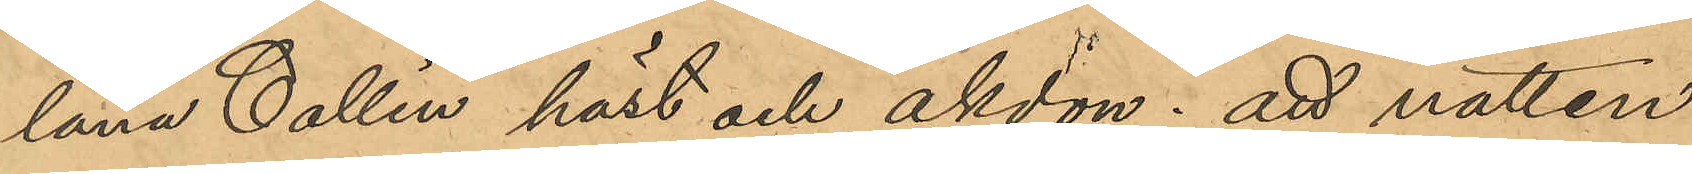låna Collin häst och åkdon; att natten
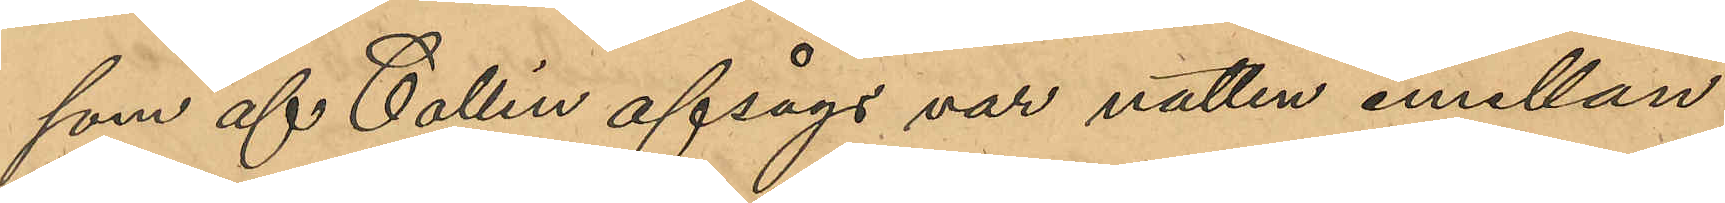som af Collin afsågs var natten emellan
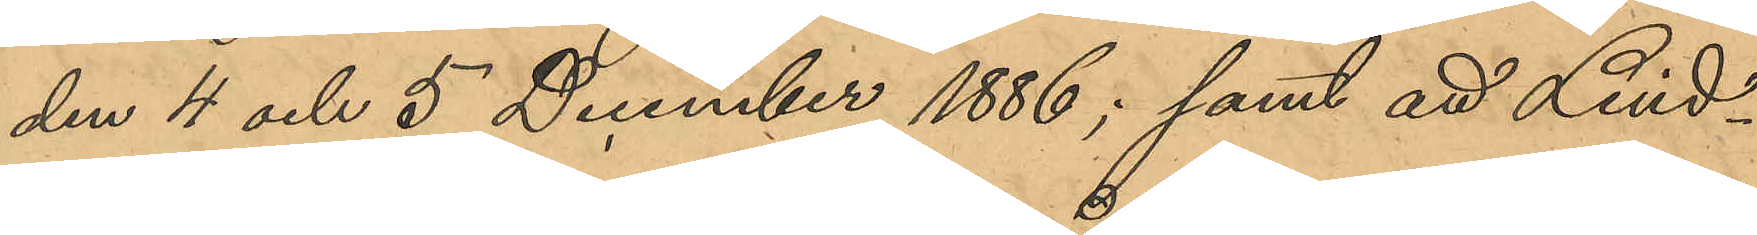den 4 och 5 December 1886; samt att Lind¬
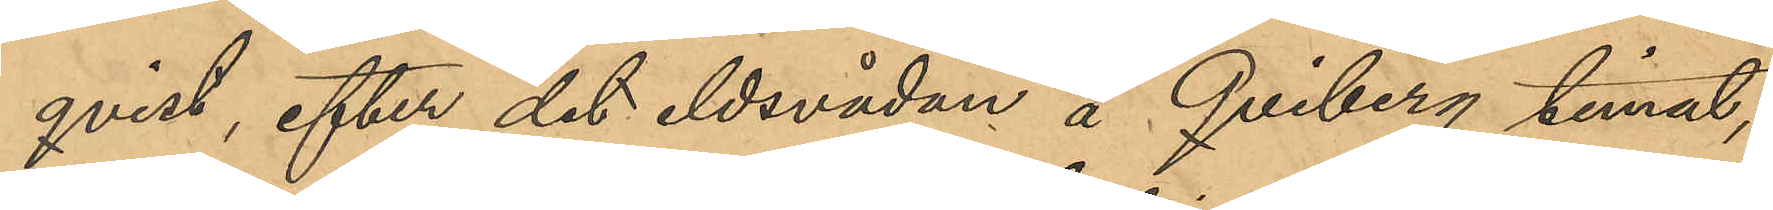qvist, efter det eldsvådan å Qviberg timat,
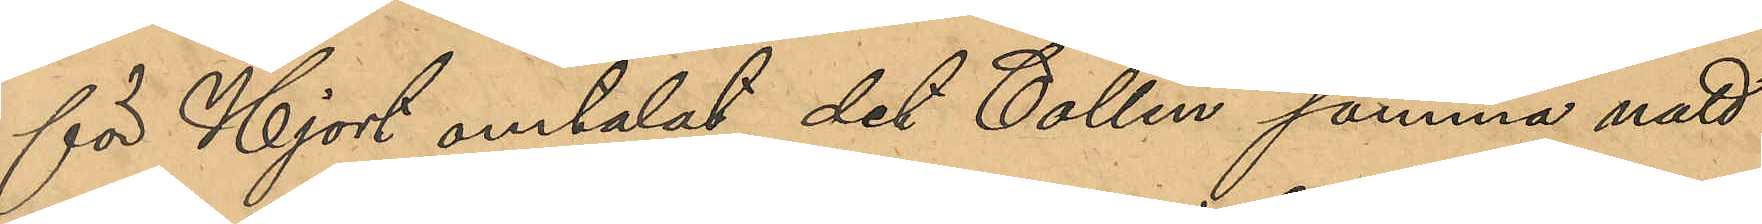för Hjort omtalat det Collin samma natt
